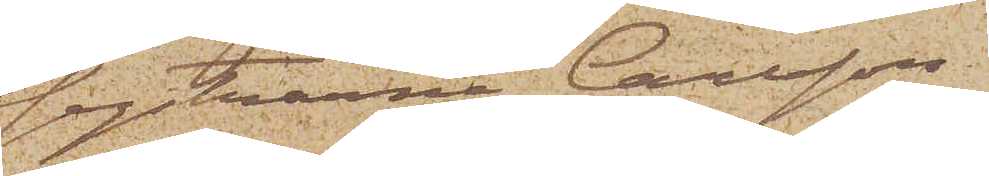systrarna Carlsson,
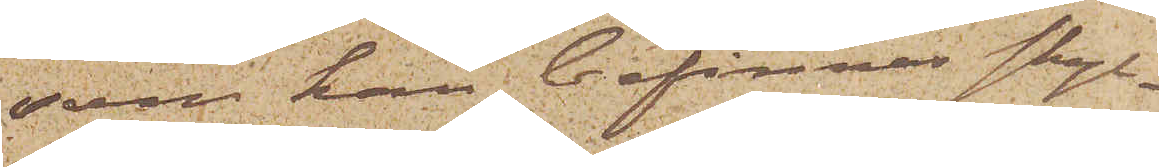som kan befinnas skyl¬
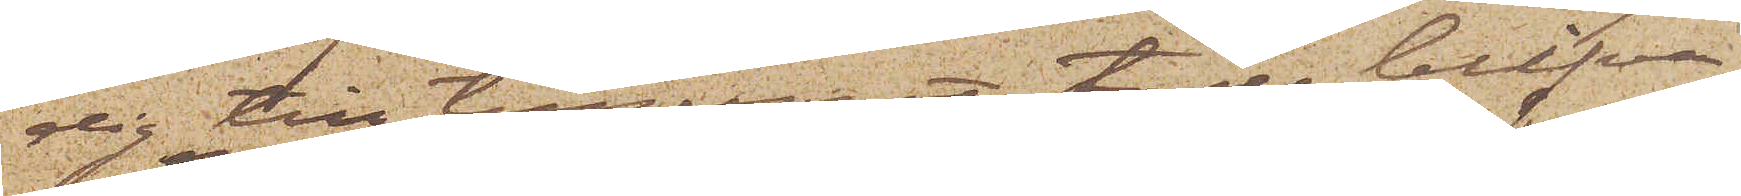dig till tillgreppet, torde blifva
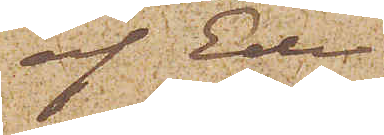af Eder
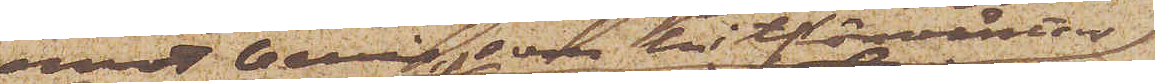emot bevis, som hitförväntas
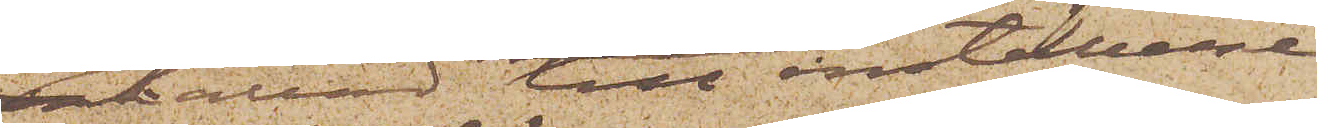kallas till inställelse
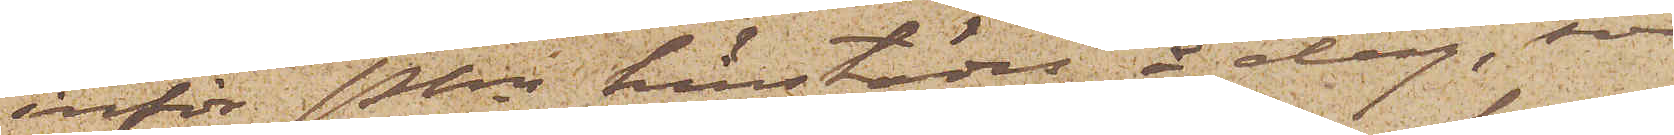inför Pkn härstädes å dag, som
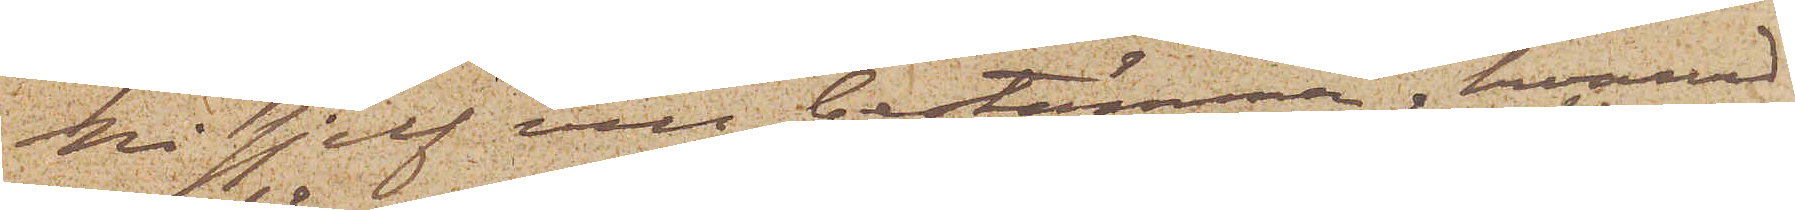Ni sjelf vill bestämma, hvarvid
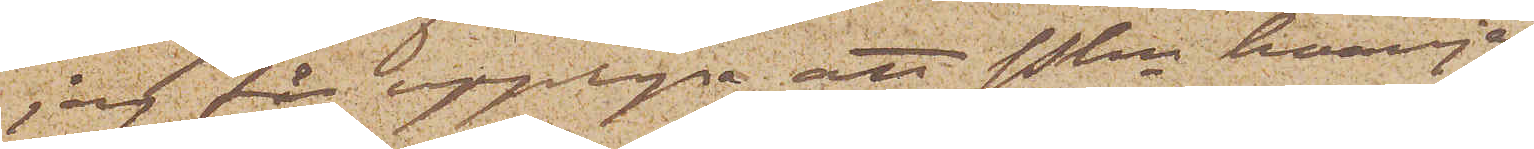jag får upplysa att Pkn hvarje
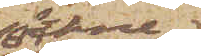söckne¬
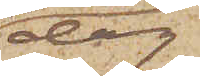dag
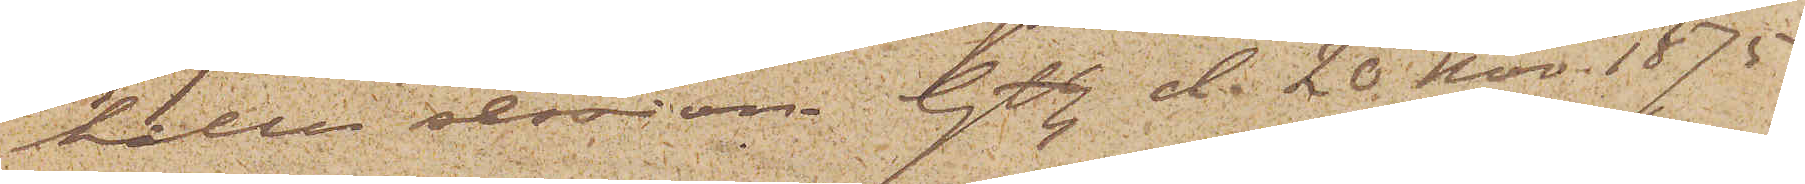håller session. Gbg d. 20 Nov. 1875.
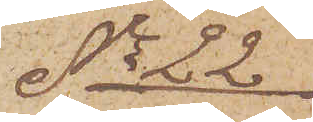No 22.
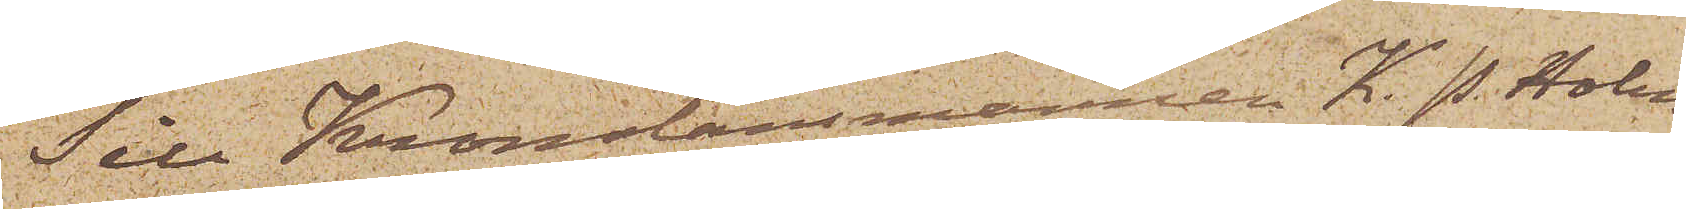Till Kronolänsmannen K. P. Holm¬
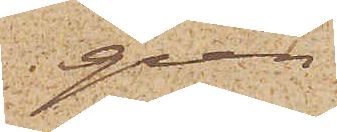gren
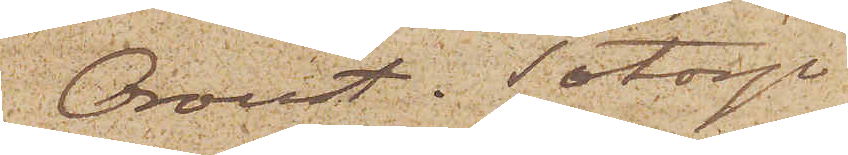Oroust Totorp
